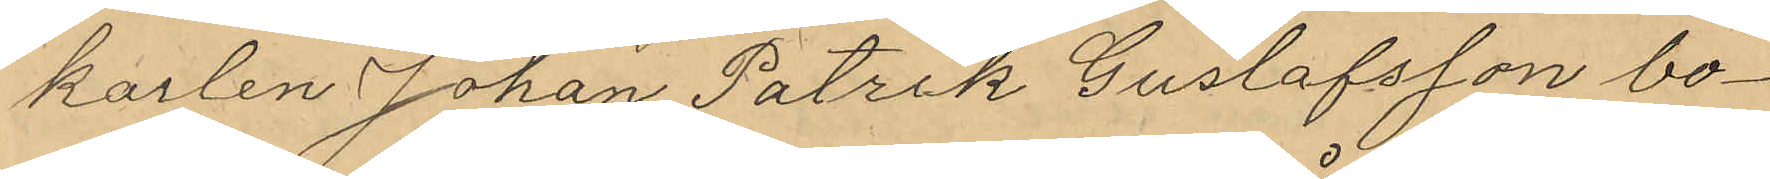karlen Johan Patrik Gustafsson bo¬
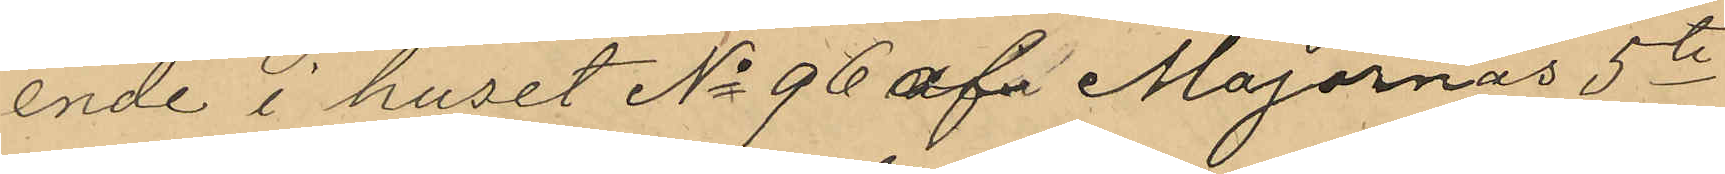ende i huset No 96 af Majornas 5te
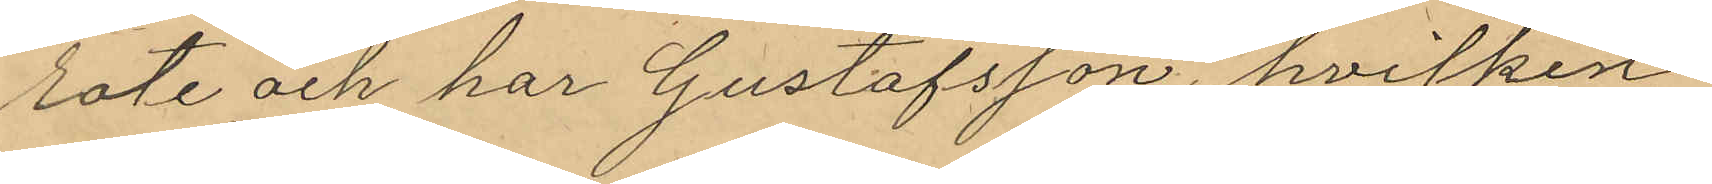rote och har Gustafsson, hvilken
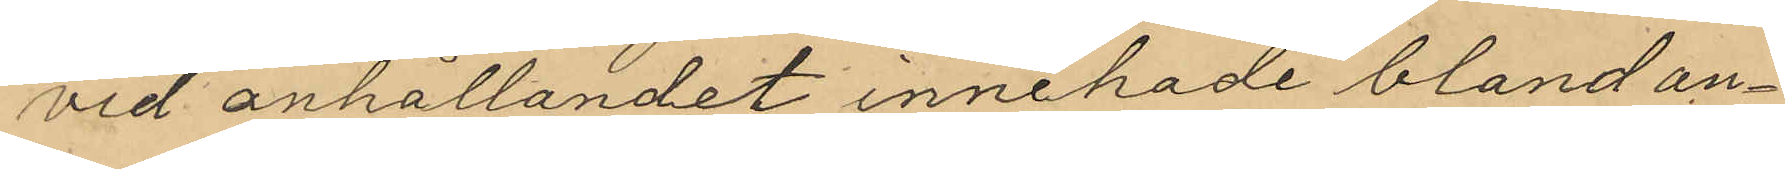vid anhållandet innehade bland an¬
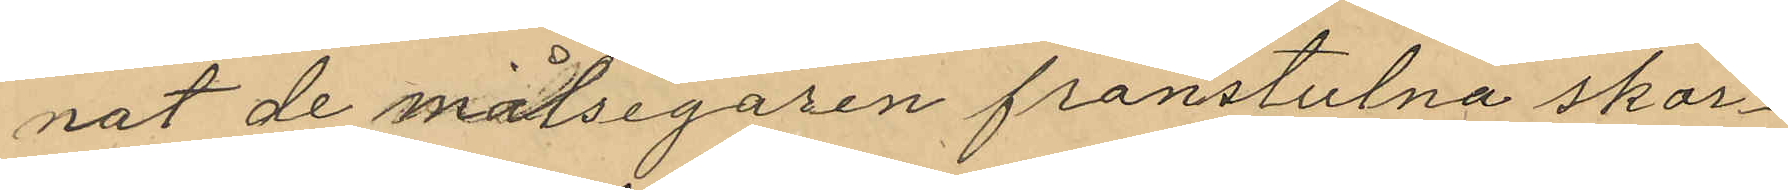nat de målsegaren frånstulna skor¬
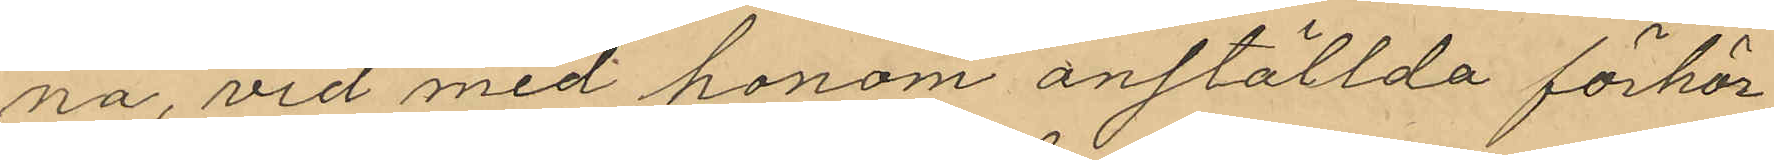na, vid med honom anställda förhör
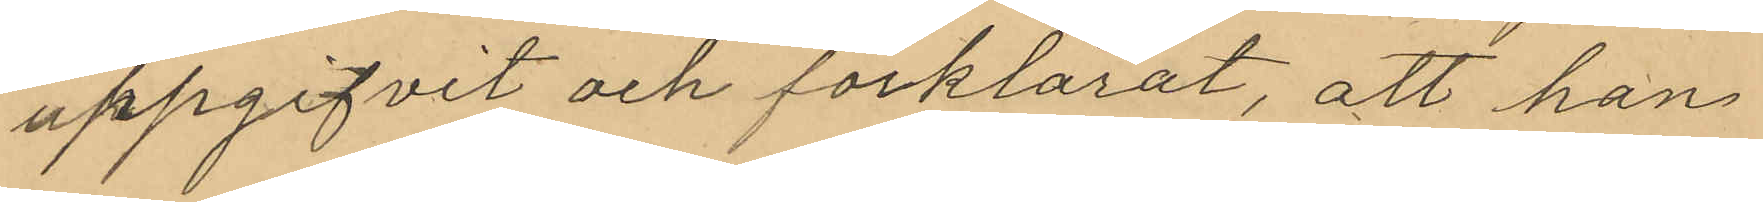uppgifvit och förklarat, att han
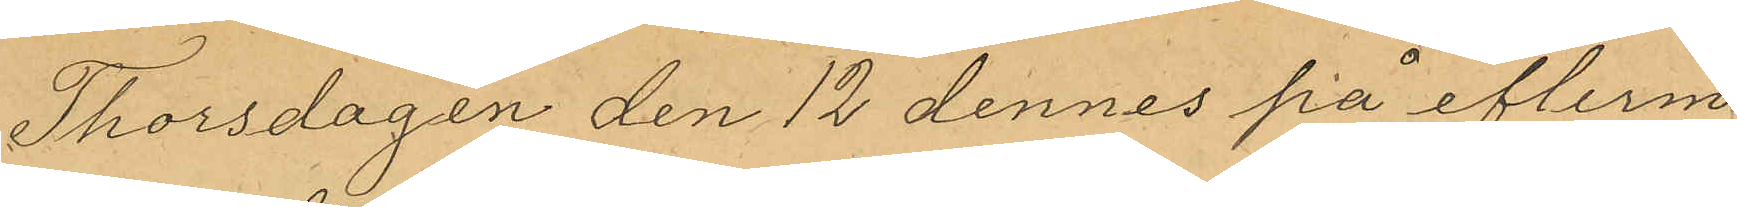Thorsdagen den 12 dennes på efterm.
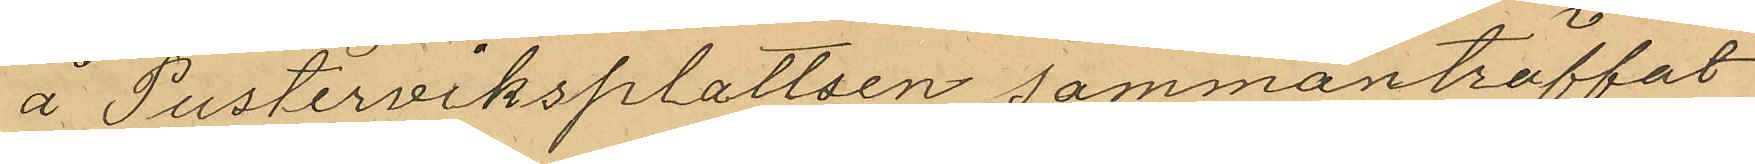å Pusterviksplattsen sammanträffat
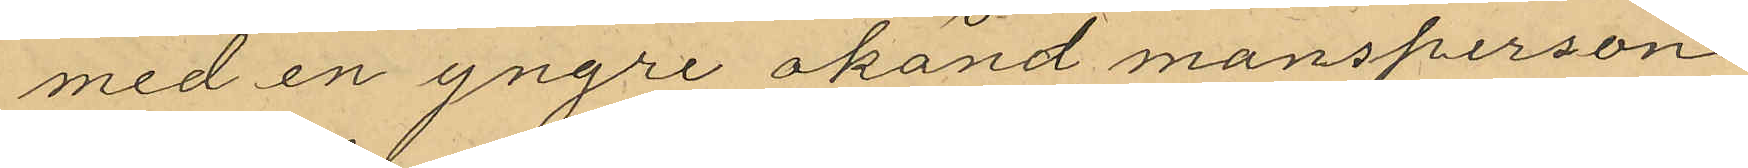med en yngre okänd mansperson
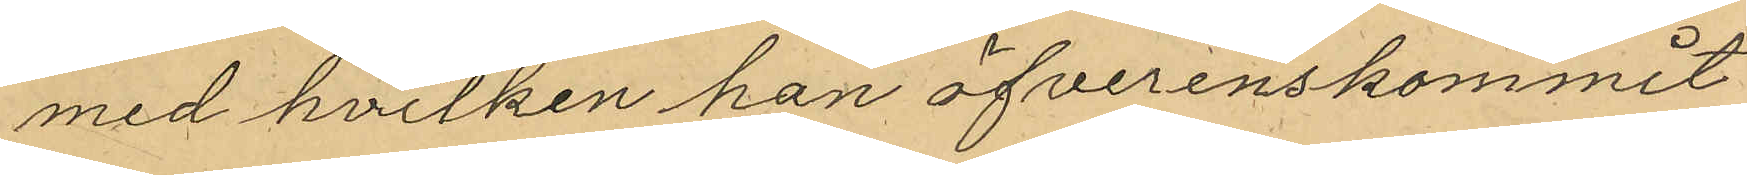med hvilken han öfverenskommit
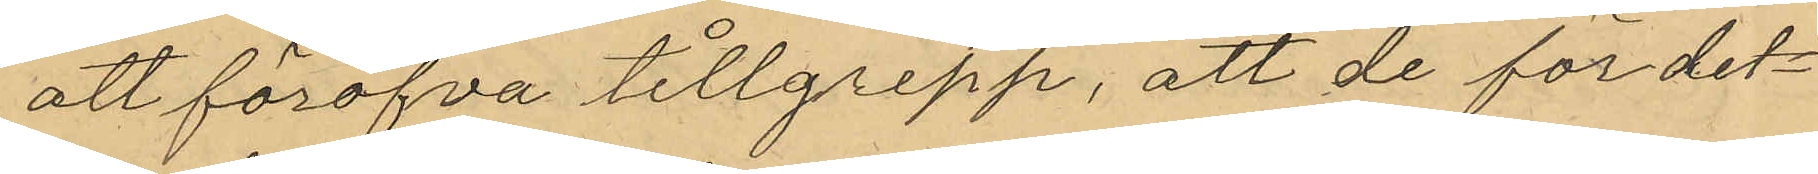att föröfva tillgrepp, att de för det¬
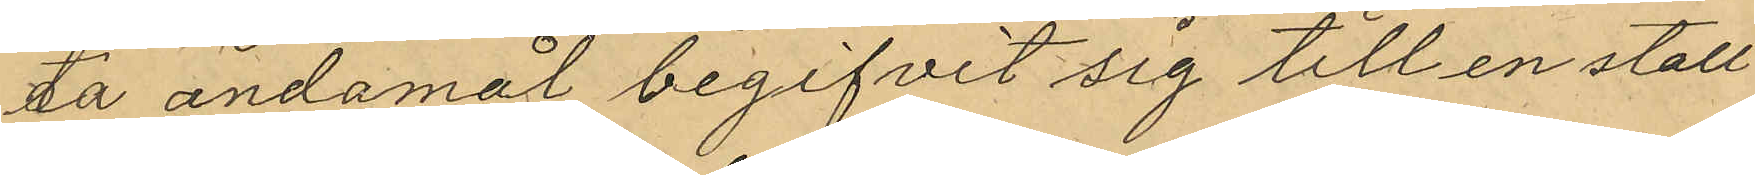ta ändamål begifvit sig till en stall
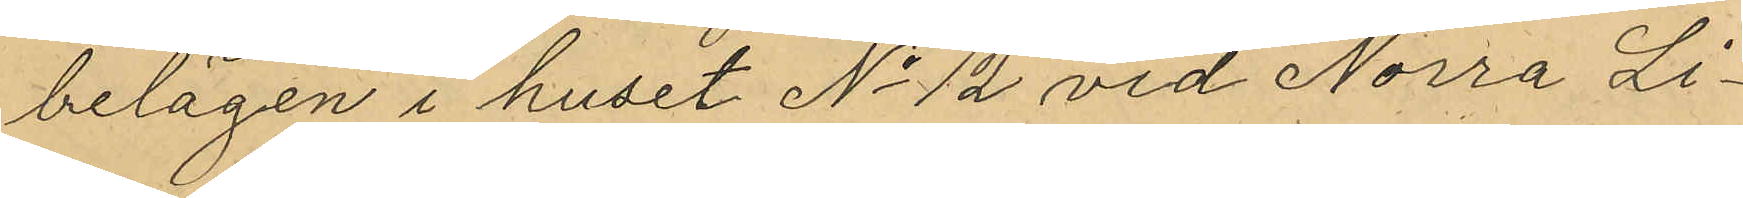belägen i huset No 12 vid Norra Li¬
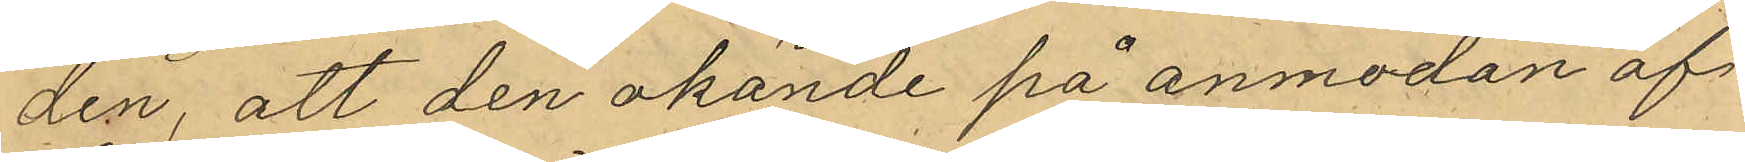den, att den okände på anmodan af
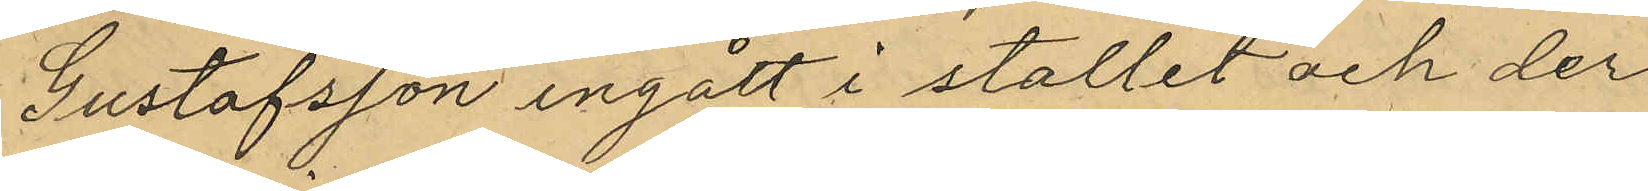Gustafsson ingått i stallet och der
